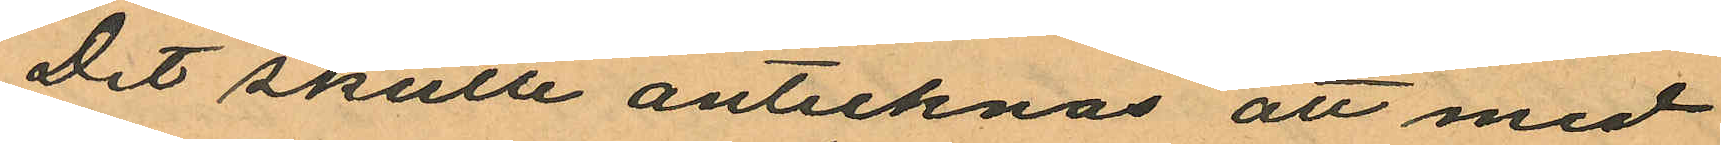Det skulle antecknas att med
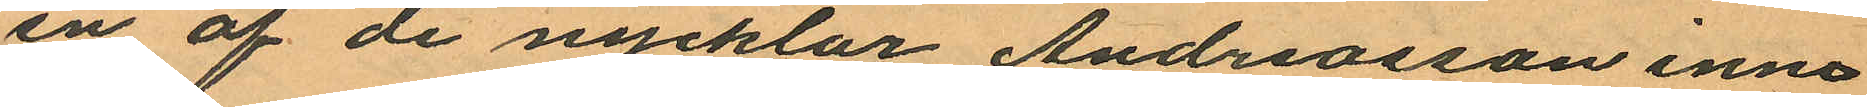en af de nycklar Andreasson inne¬
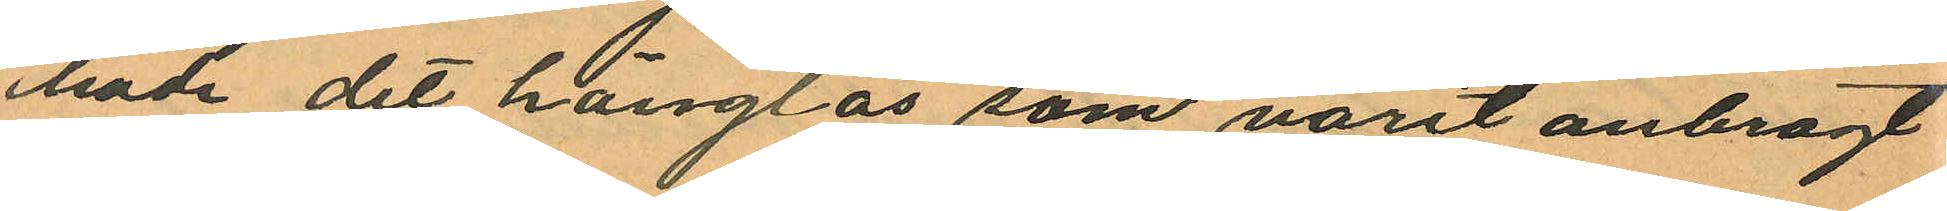hade det hänglås som varit anbragt
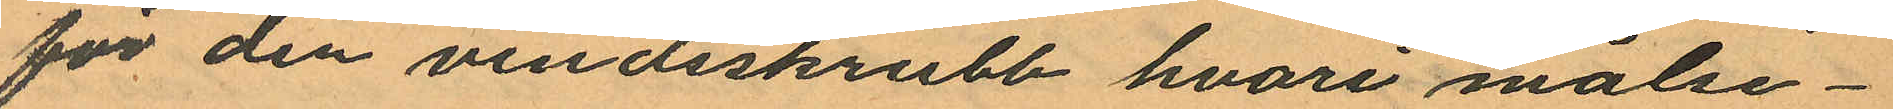för den vindsskrubb hvari målse¬
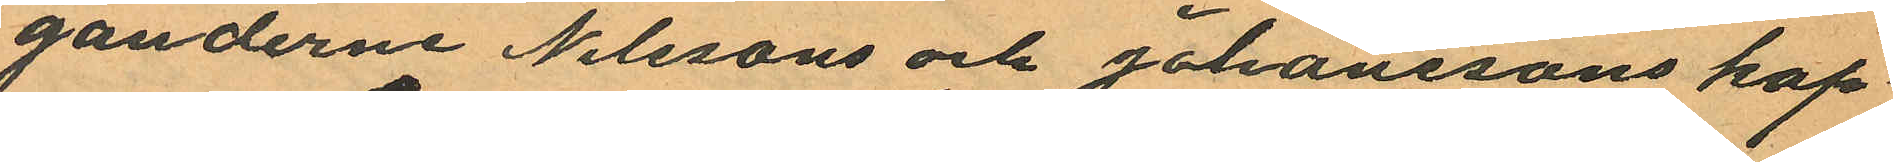ganderne Nilssons och Johanssons kap¬
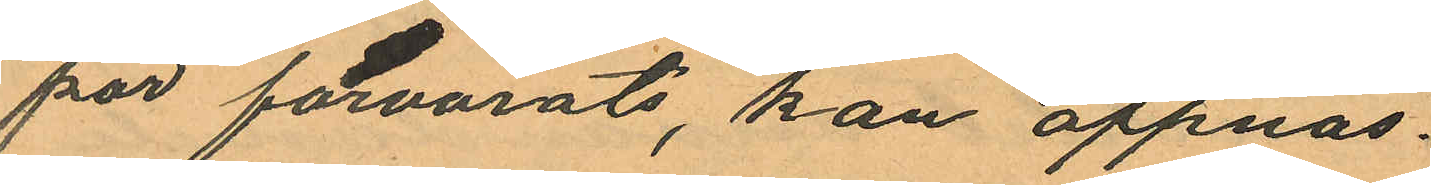por förvarats, kan oppnas.
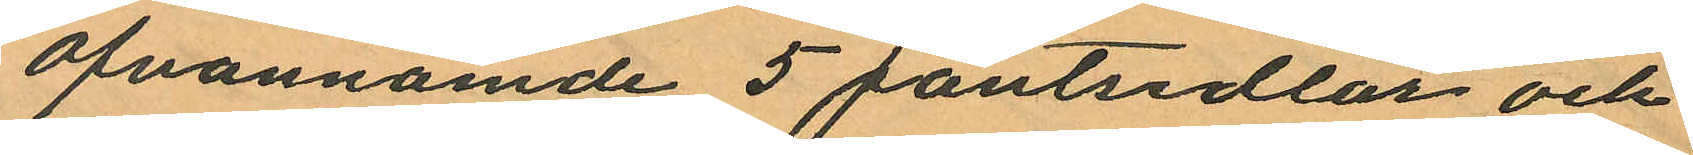Ofvannämde 5 pantsedlar och
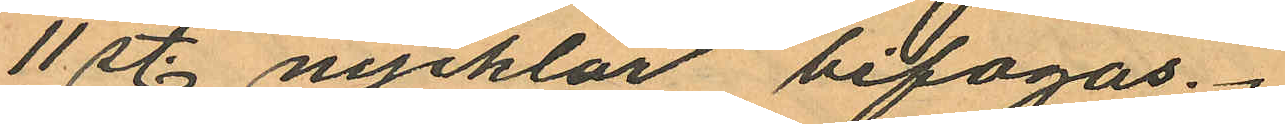11 st. nycklar bifogas.
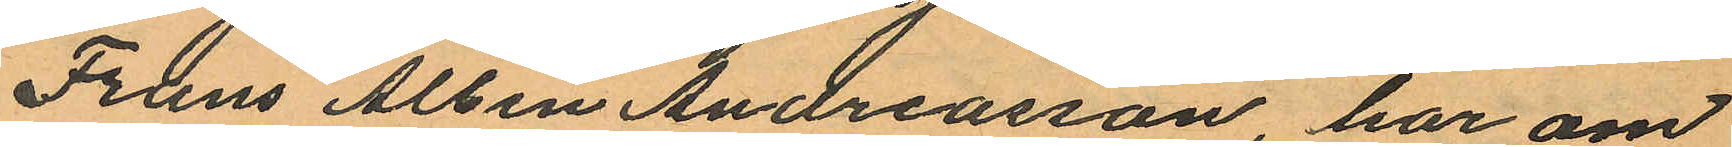Frans Albin Andreasson, har om
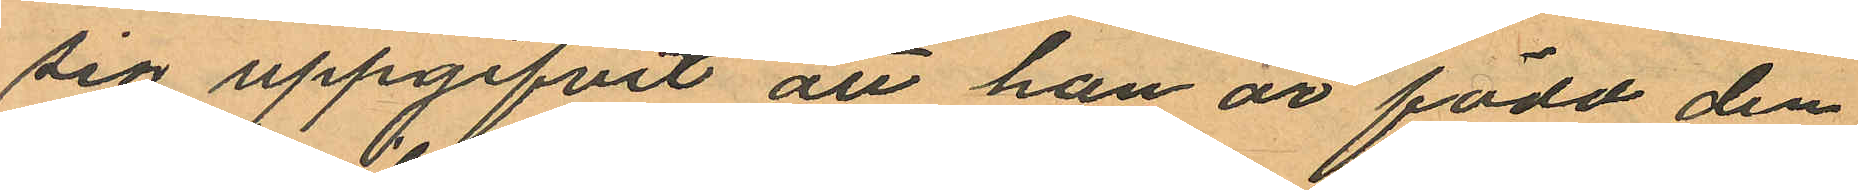sig uppgifvit att han är född den
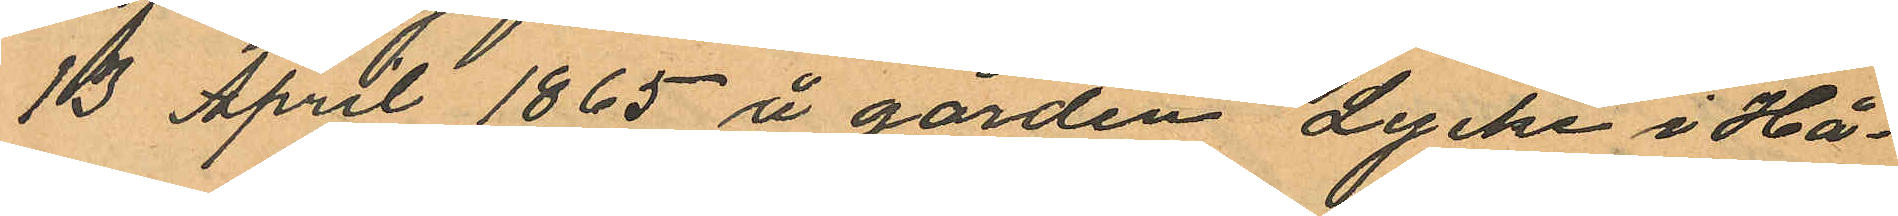13 April 1865 å gården Lycke i Hå¬
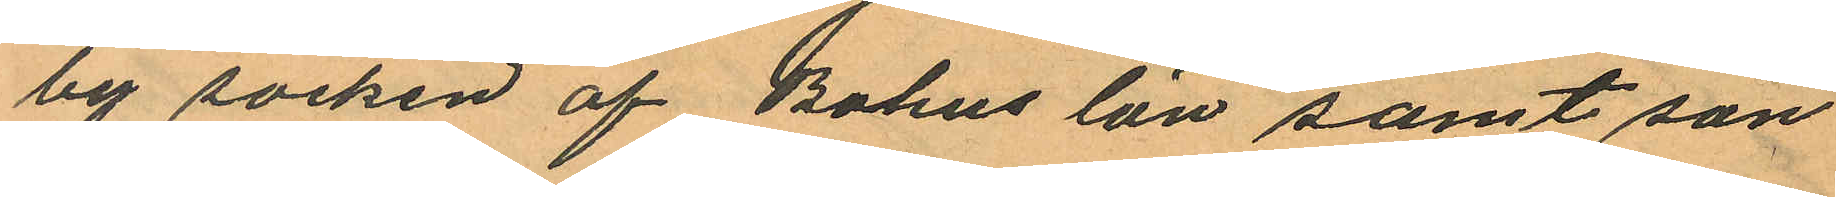by socken af Bohus län samt son
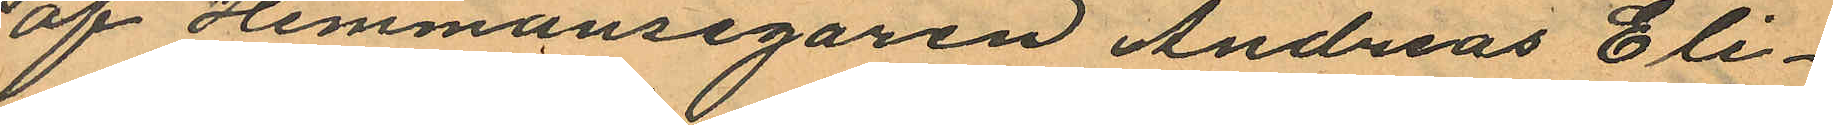af Hemmansegaren Andreas Eli¬
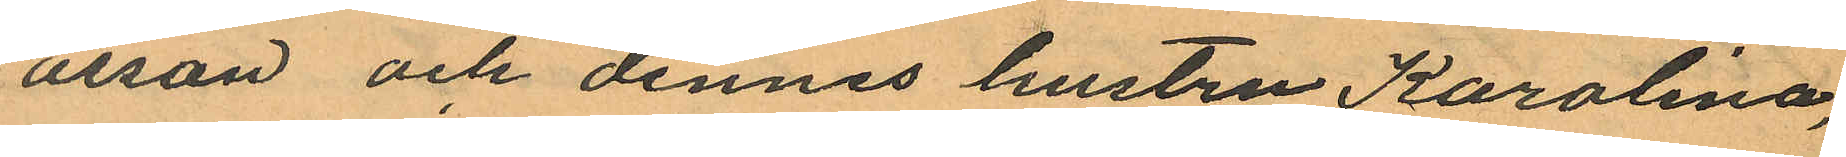orsan och dennes hustru Karolina,
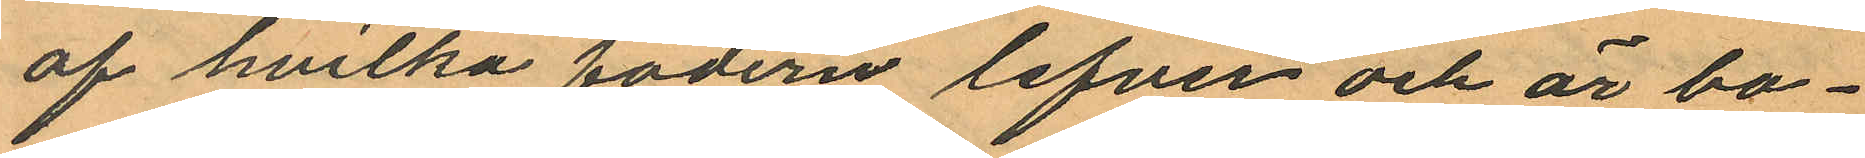af hvilka fadern lefver och är bo¬
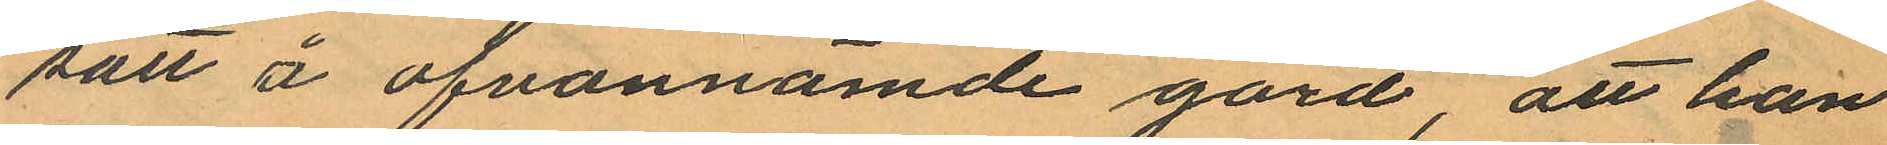satt å ofvannämde gård, att han
